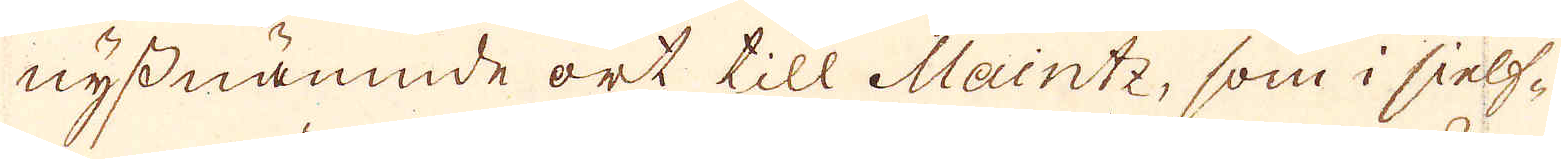nyssnämnde ort till Maintz, som i sielf-
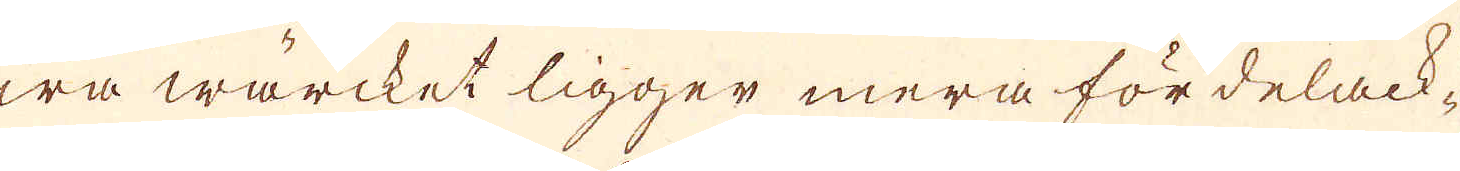wa wärcket ligger mera fördelack-
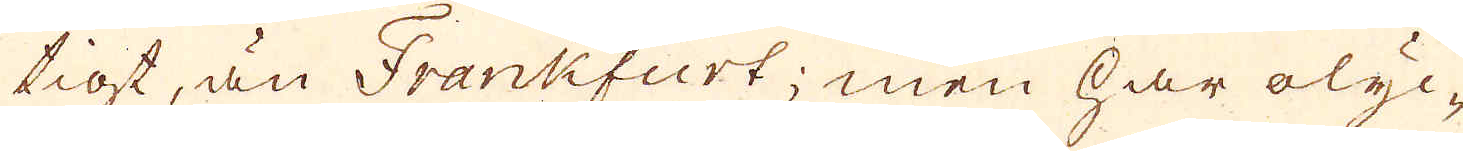tigt, än Frankfurt; men har olyc-
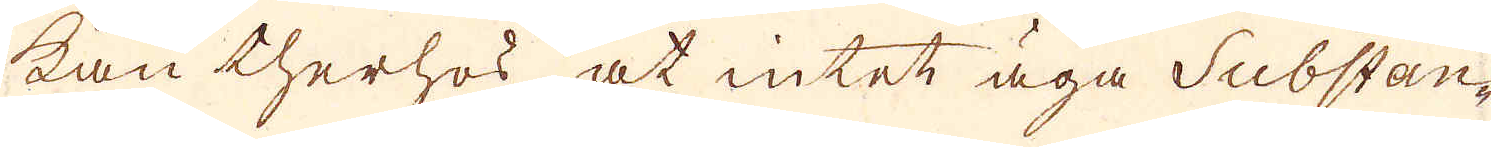kan therhos at intet äga Substan-
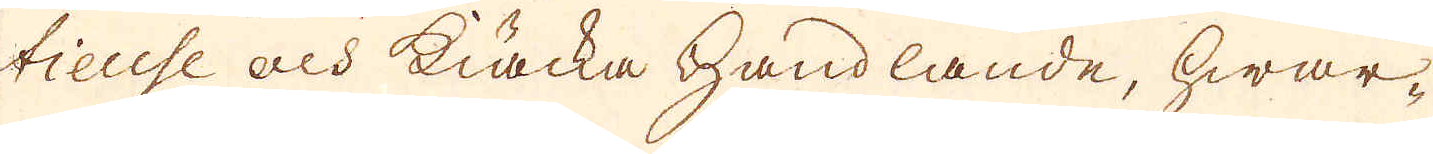tieuse och kiäcka Handlande, hwar-
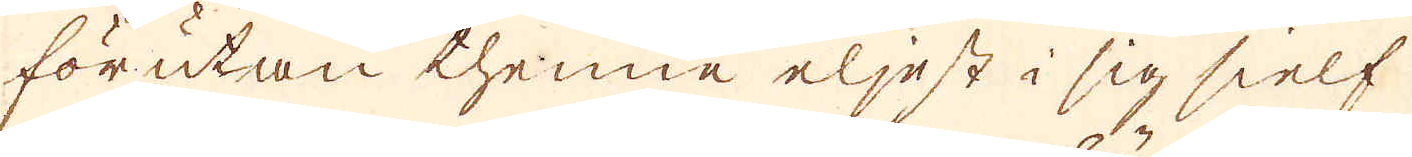förutan thenne eljest i sig sielf
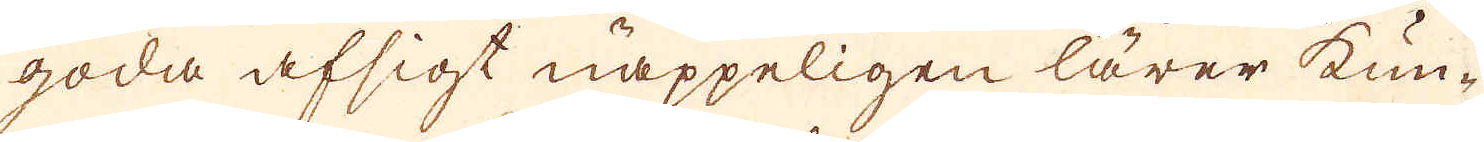goda afsigt näppeligen lärer kun-
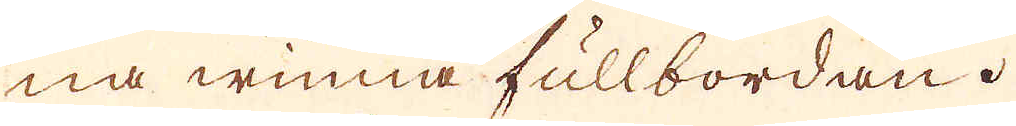na winna fullbordan.
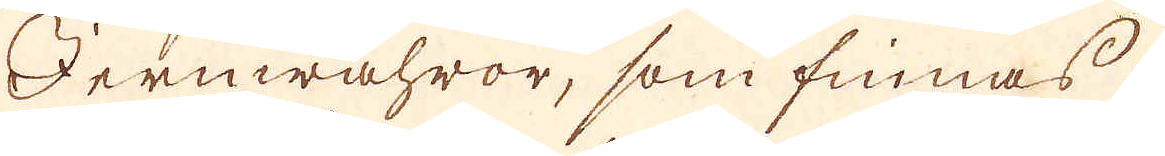Jernwahror, som finnas
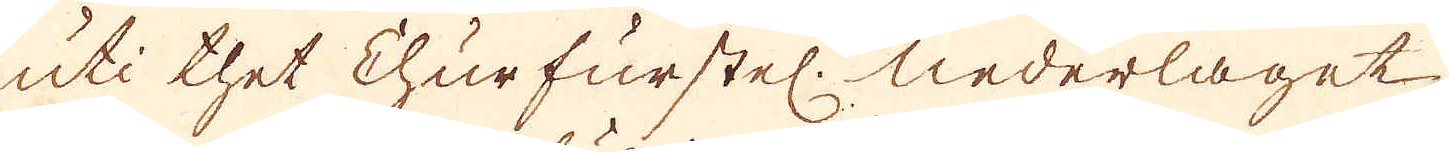uti thet Churfurstel. Nederlaget
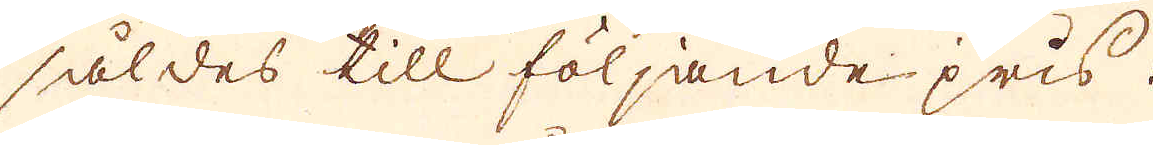såldes till följande pris.
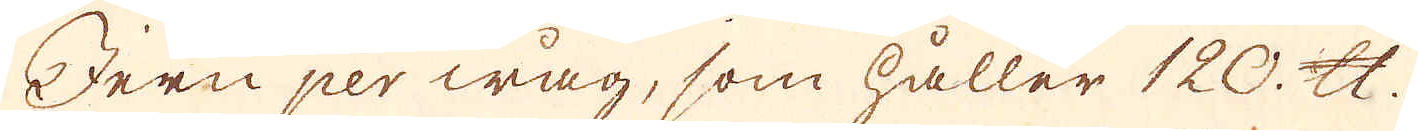Jern per wåg, som håller 120 skålpund
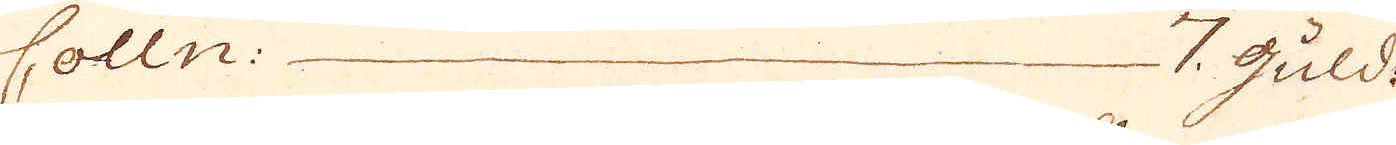Colln: — 7 guld:
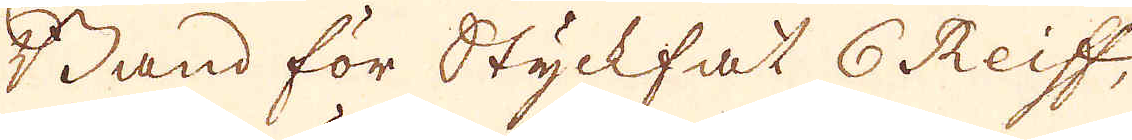Band för Styckfat 6 Reiff,
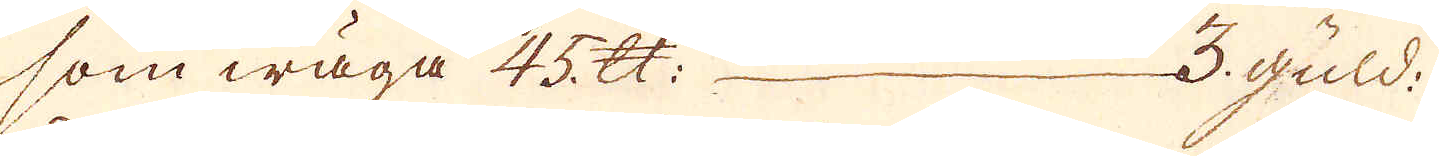som wäga 45 skålpund — 3 guld:
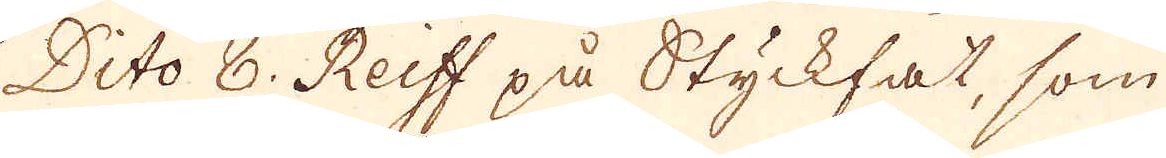Dito 8 Reiff på Styckfat, som
